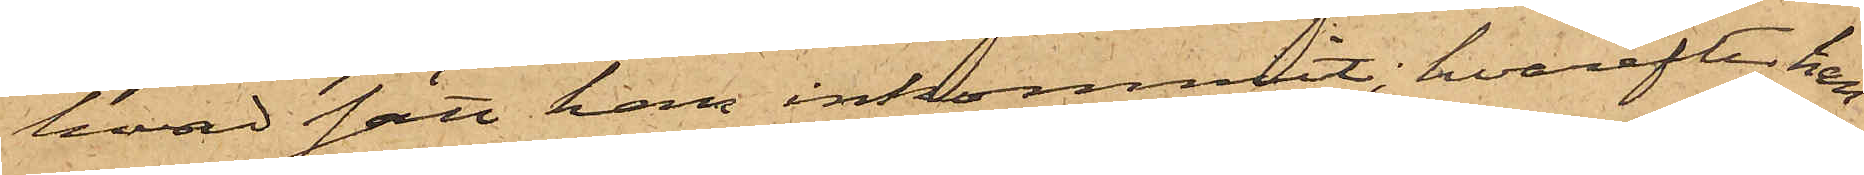hvad satt han inkommit; hvarefter han
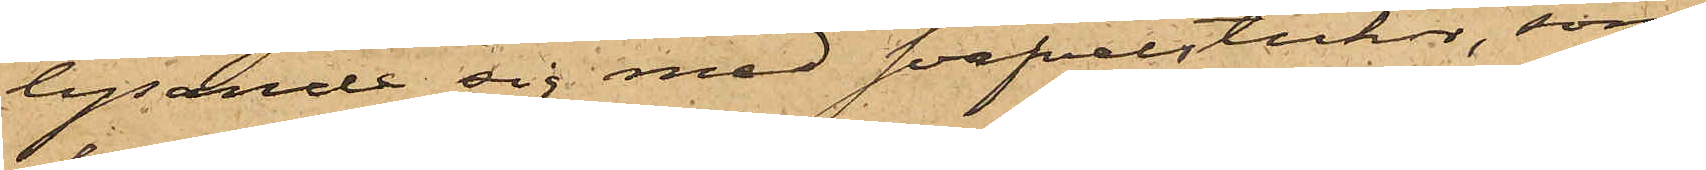lysande sig med svafvelstickor, som
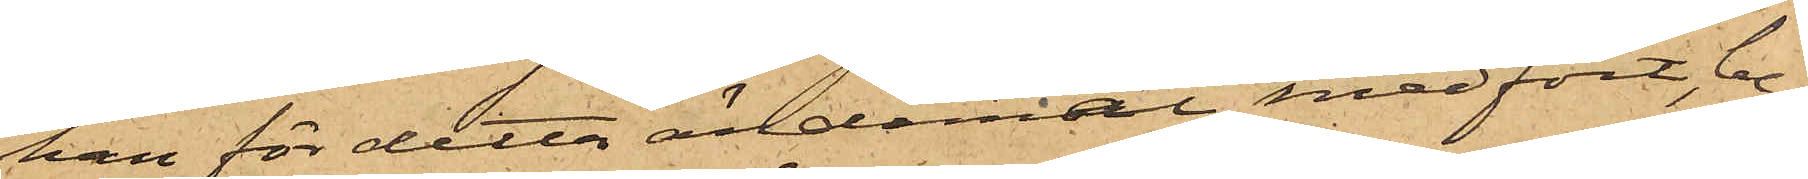han för detta ändamål medfört, be¬
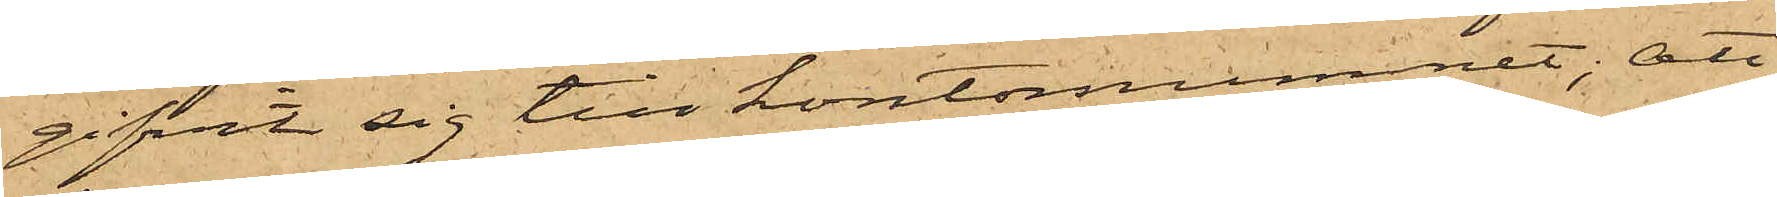gifvit sig till kontorsrummet; att
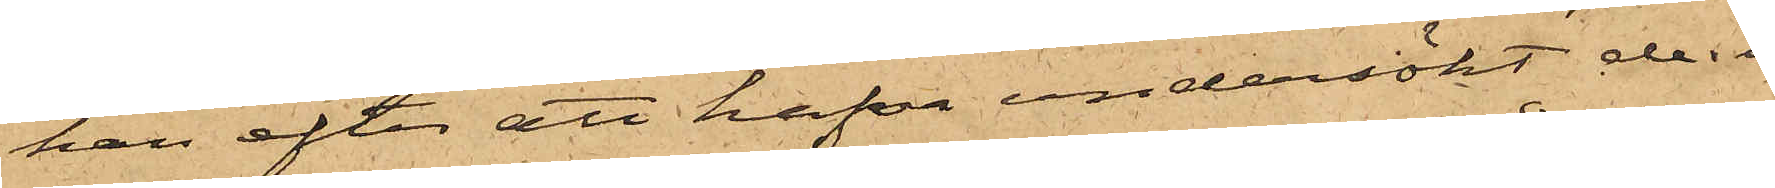han efter att hafva undersökt de i
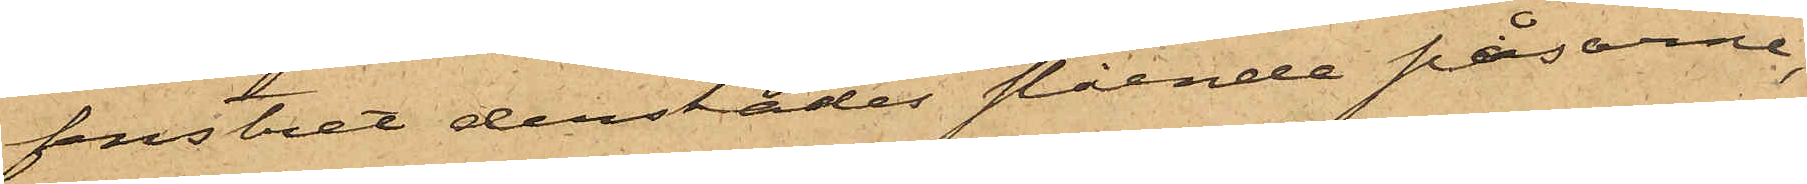fenstret derstädes stående påsarne,
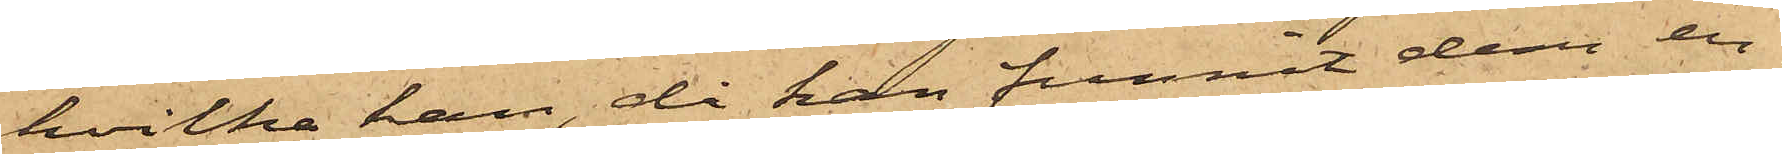hvilka han, då han funnit dem en¬
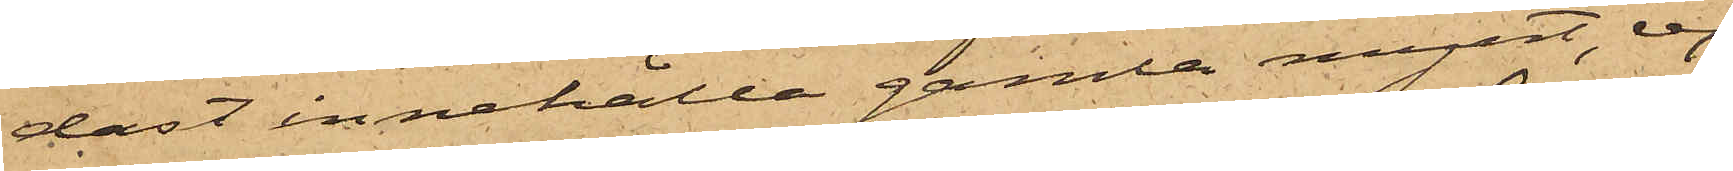dast innehålla gamla mynt, ej
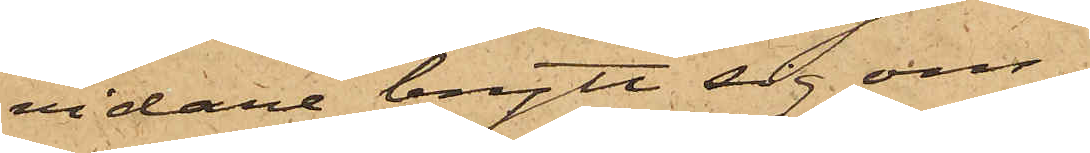vidare brytt sig om,
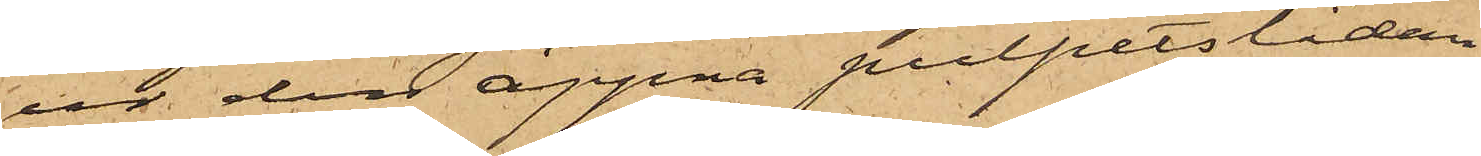ur den öppna pulpetslådan
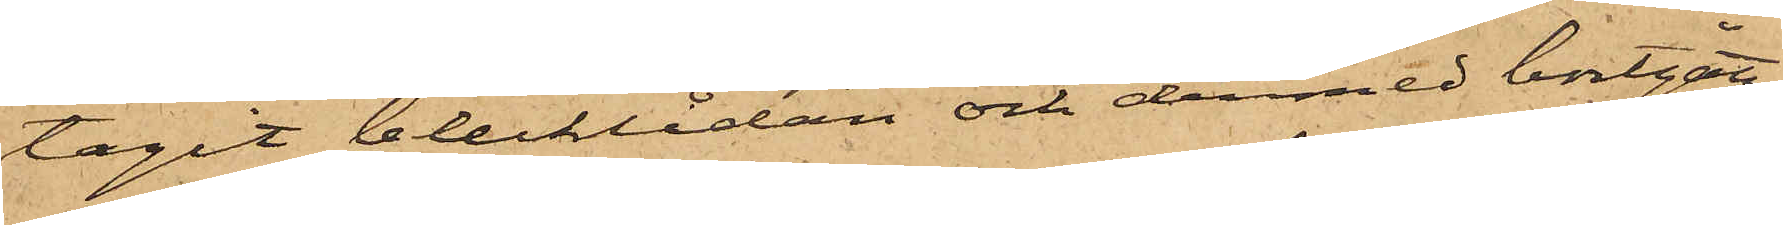tagit blecklådan och dermed bortgått;
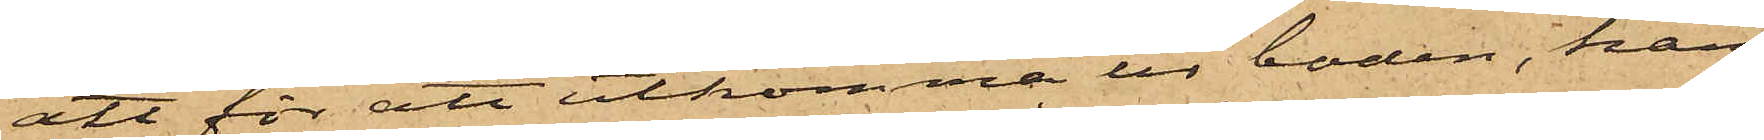att för att utkomma ur boden, han
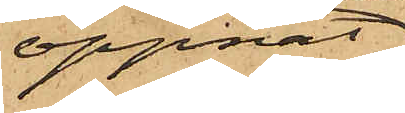öppnat
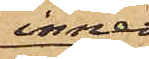inner¬
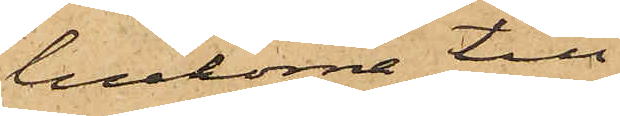luckorna till
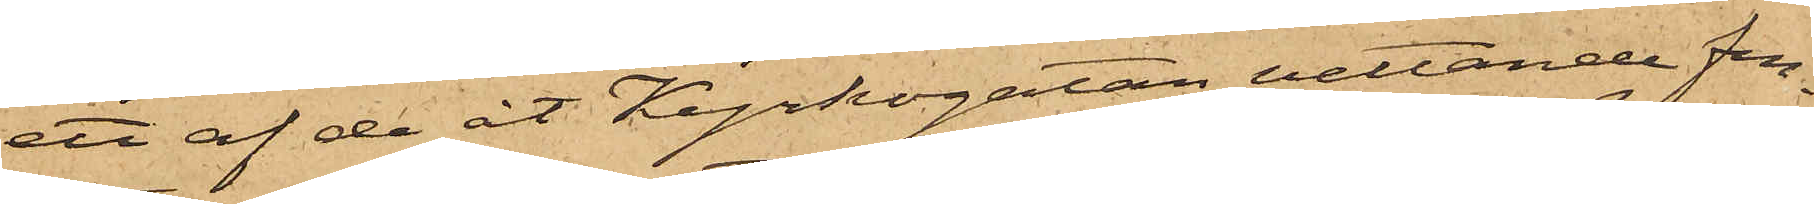ett af de åt Kyrkogatan vettande fen¬
